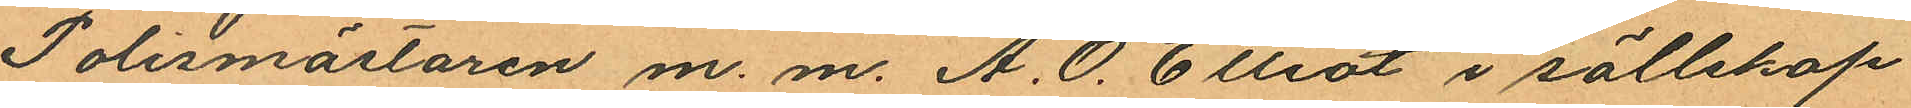Polismästaren m. m. A. O. Elliot i sällskap
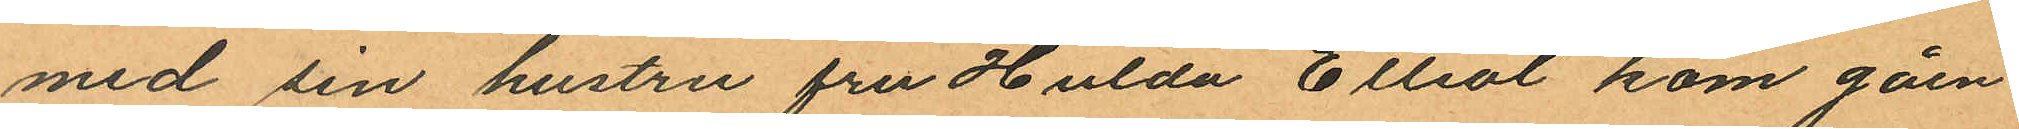med sin hustru fru Hulda Elliot kom gåen¬
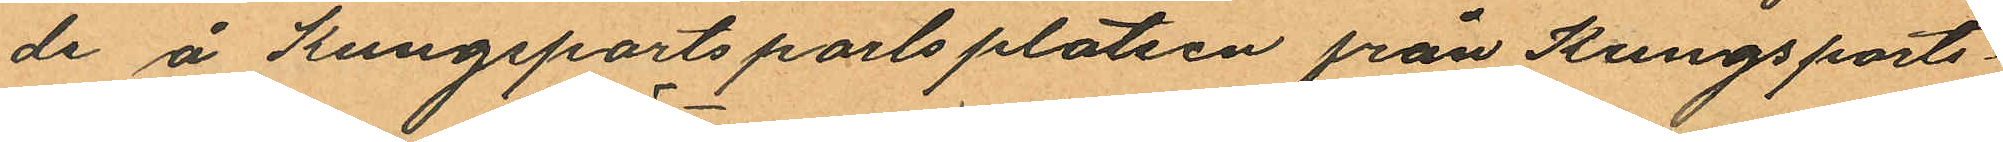de å Kungsportsporlsplatsen från Kungsports¬
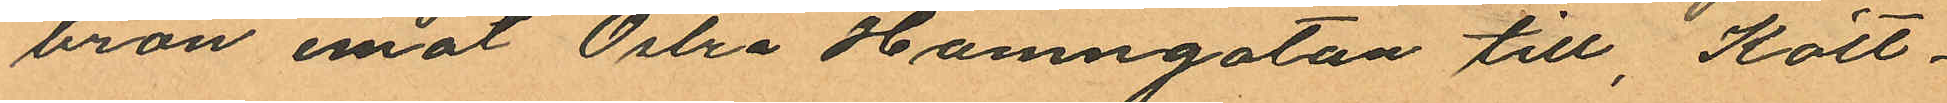bron emot Östra Hamngatan till, Kött¬
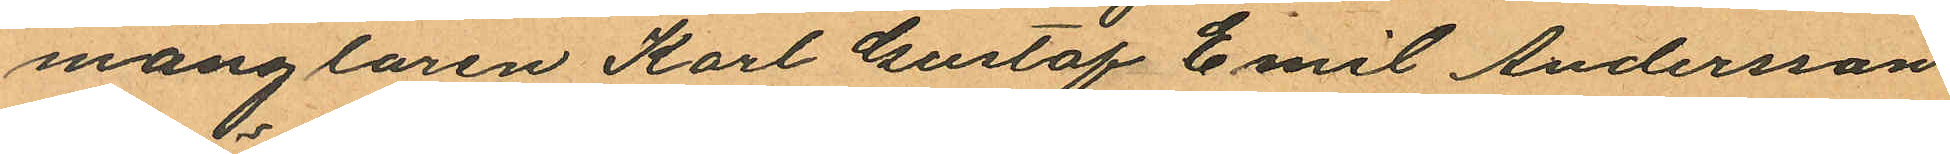månglaren Karl Gustaf Emil Andersson
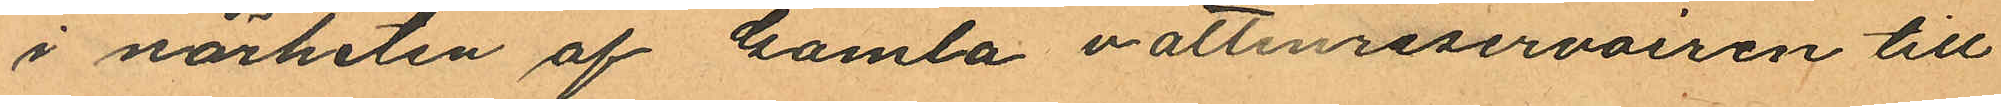i närheten af Gamla vattenreservoiren till
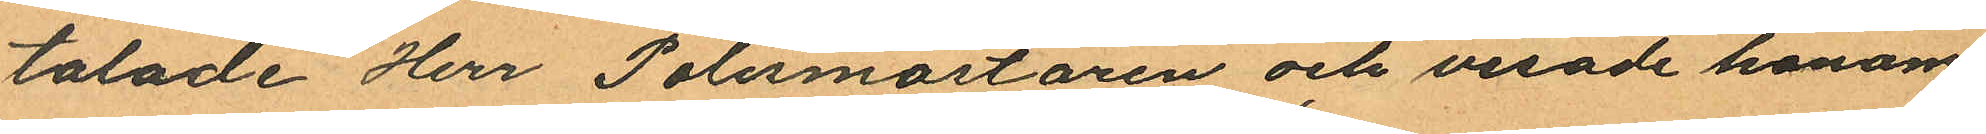talade Herr Polismästaren och visade honom
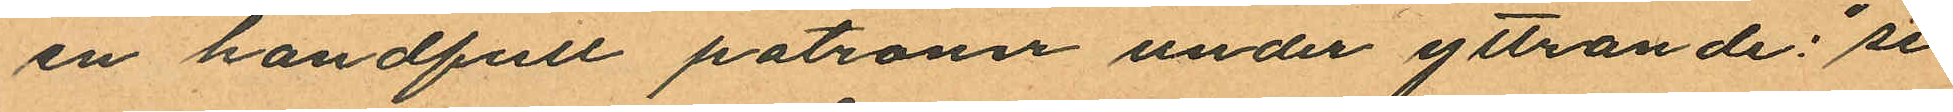en handfull patroner under yttrande: "se
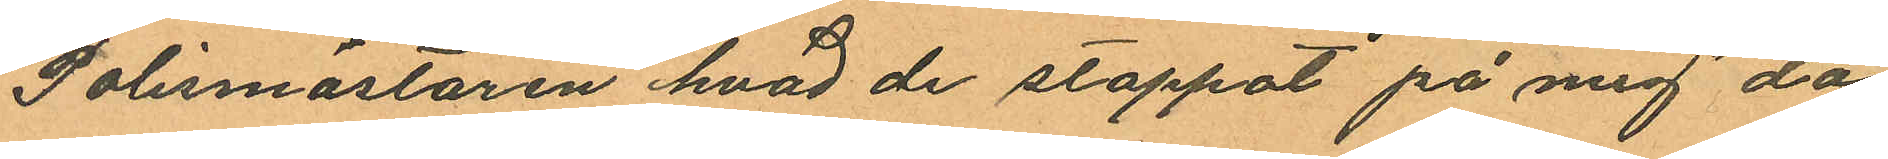Polismästaren hvad de stoppat på mig" då
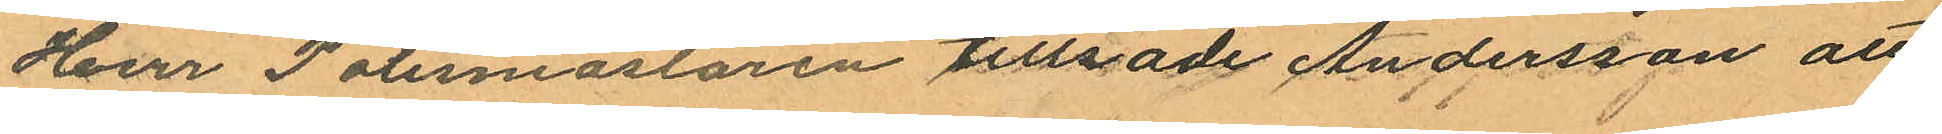Herr Polismästaren tillsade Andersson att
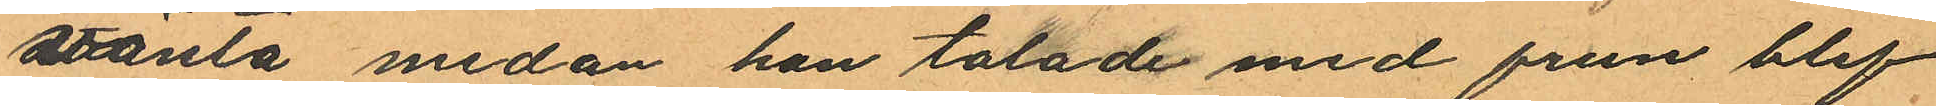vänta medan han talade med frun blef
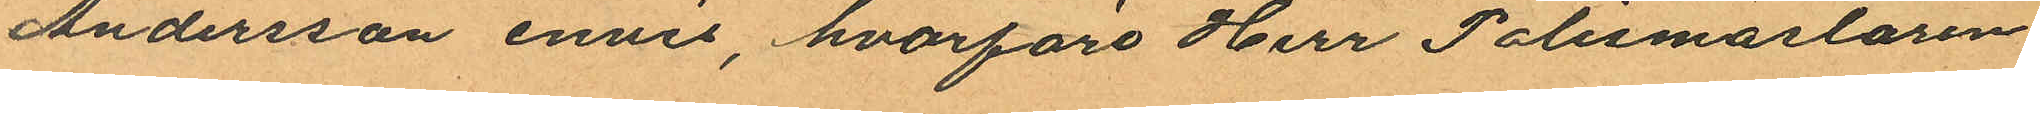Andersson envis, hvarföre Herr Polismästaren
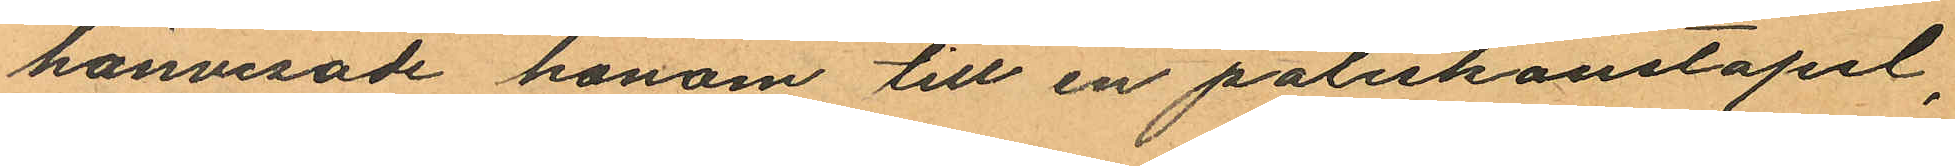hänvisade honom till en poliskonstapel,
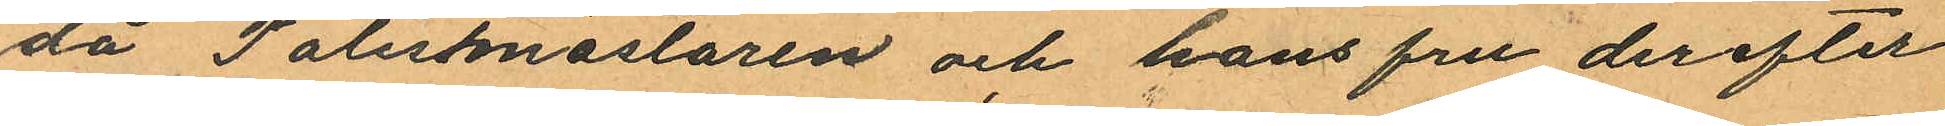då Polismästaren och hans fru derefter
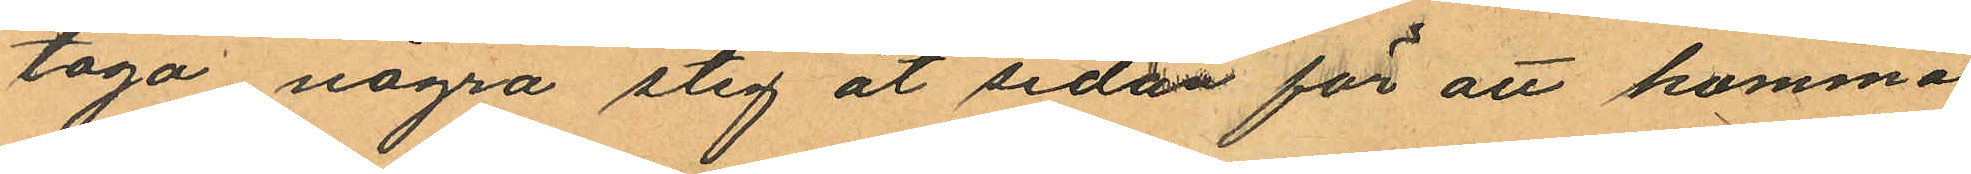togo några steg åt sidan för att komma
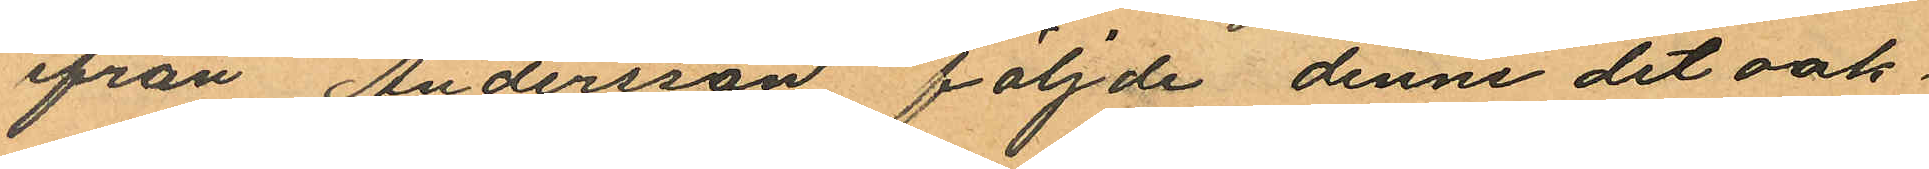ifrån Andersson följde denne det oak¬
